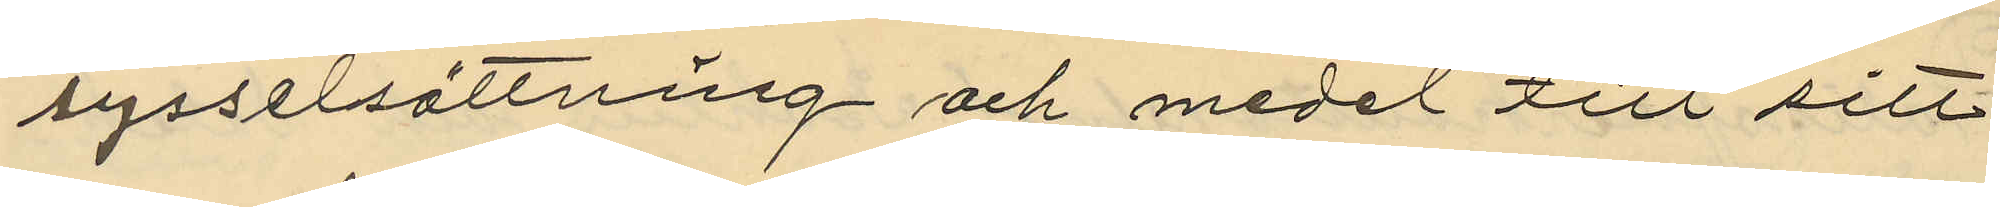sysselsättning och medel till sitt
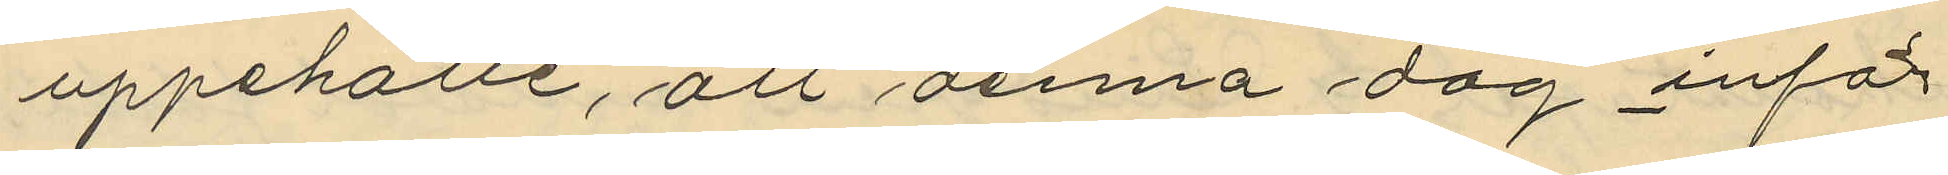uppehälle, att denna dag inför
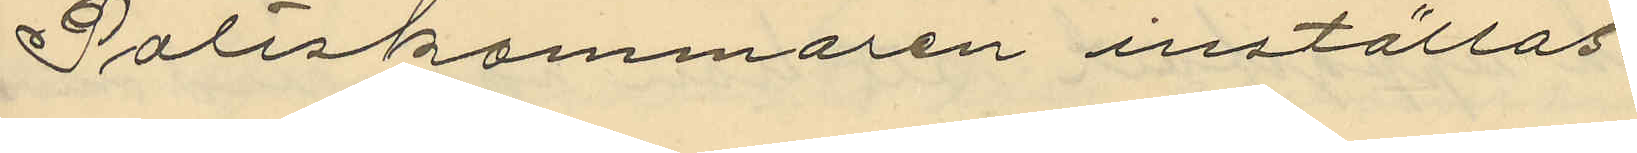Poliskammaren inställas.
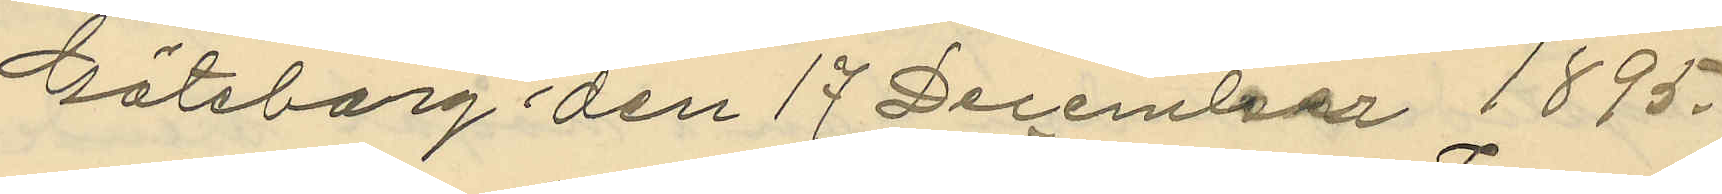Göteborg den 17 December 1895.
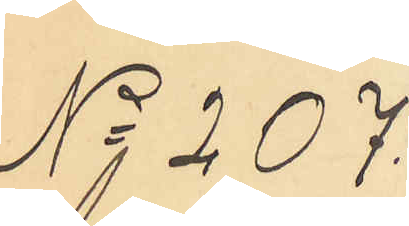No 207
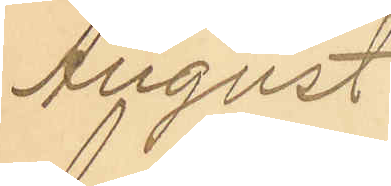August
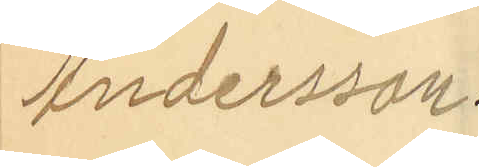Andersson
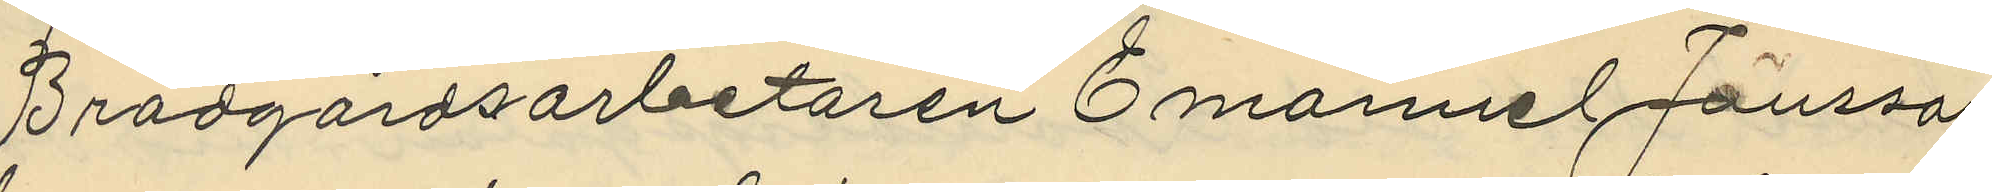Brädgårdsarbetaren Emanuel Jansson
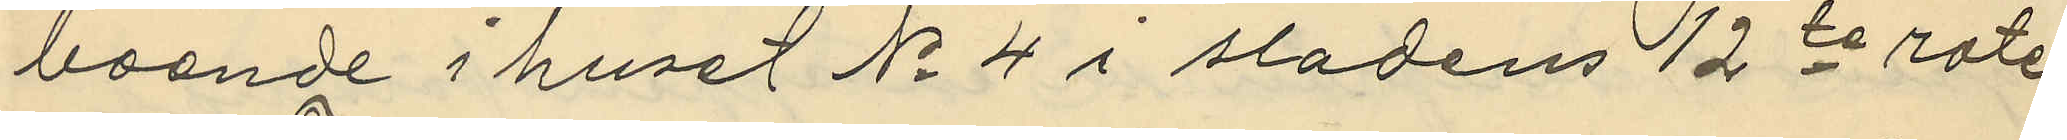boende i huset No 4 i sladens 12te rote,
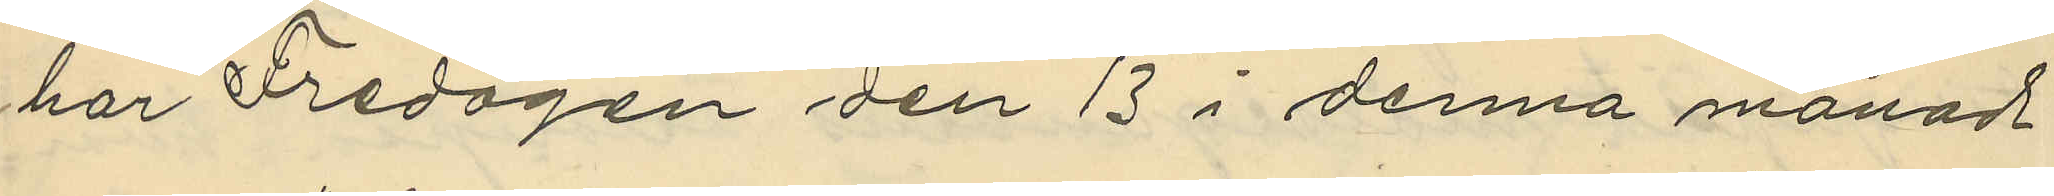har Fredagen den 13 i denna månad
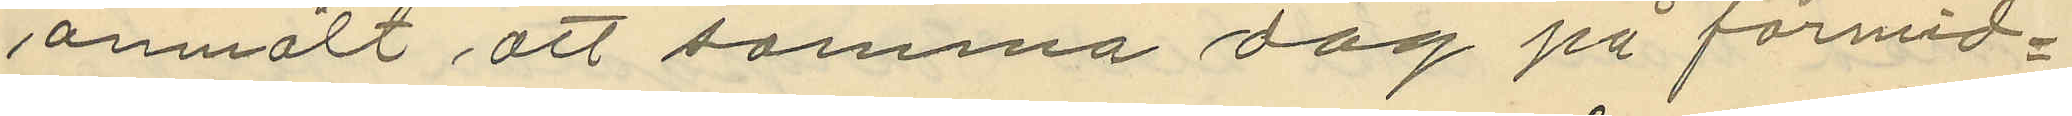anmält att samma dag på förmid¬
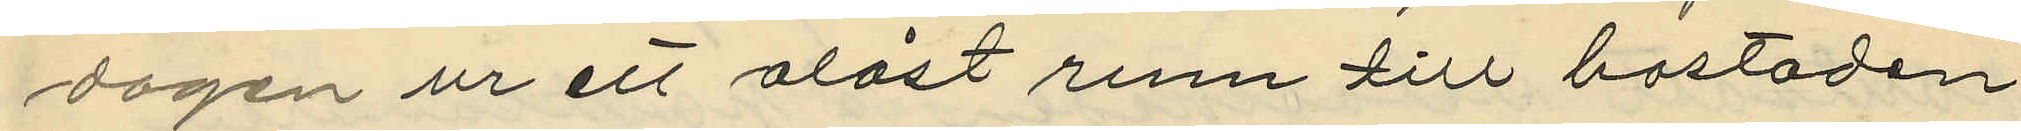dagen ur ett olåst rum till bostaden
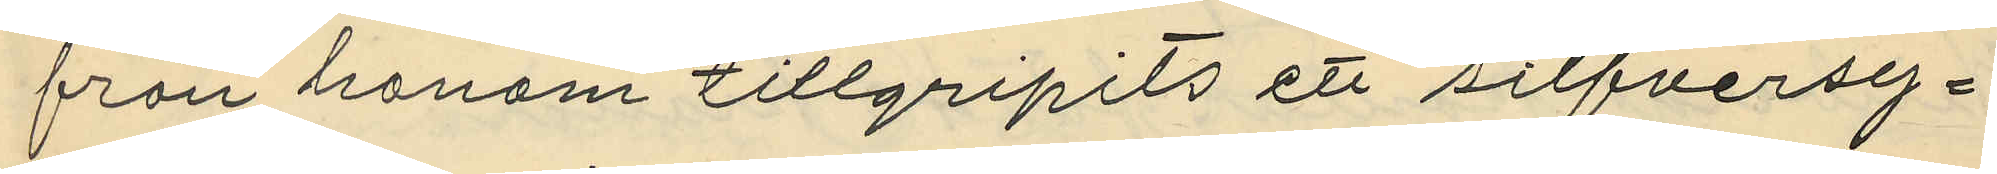från honom tillgripits ett silfversy¬
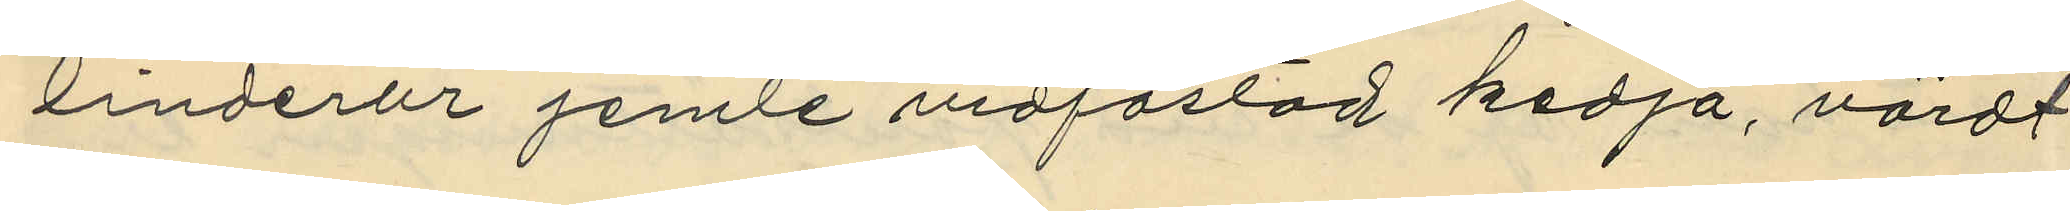linderur jemte vidfästad kedja, värdt
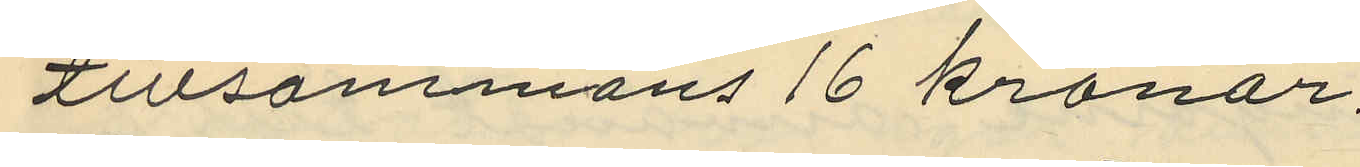tillsammans 16 kronor.
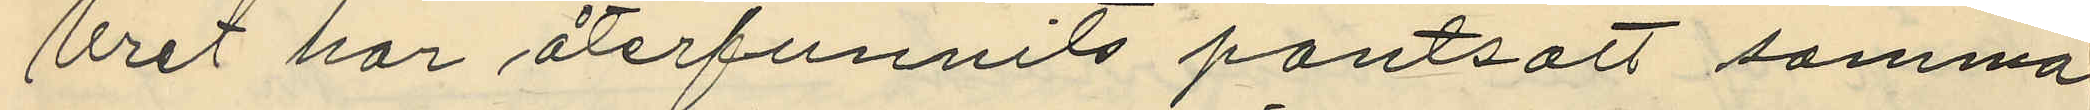Uret har återfunnits pantsatt samma
